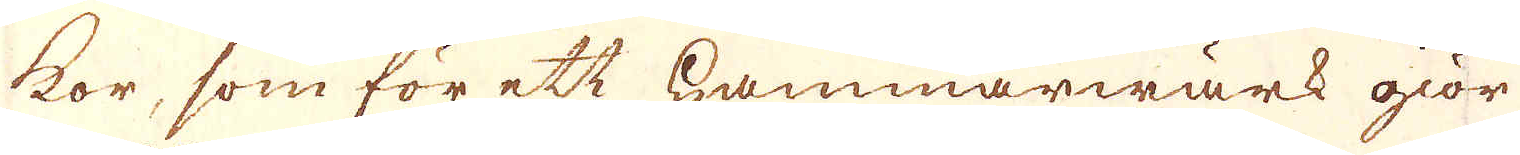kor, som för ett hammarwärck giör
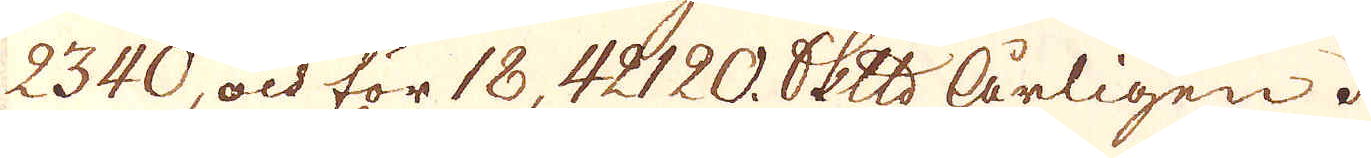2340, och för 18,42120. Skeppund Årligen.
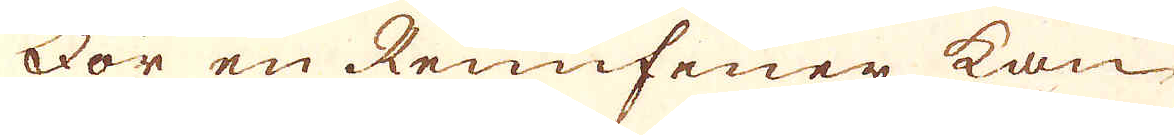För en Rennfeuer kan
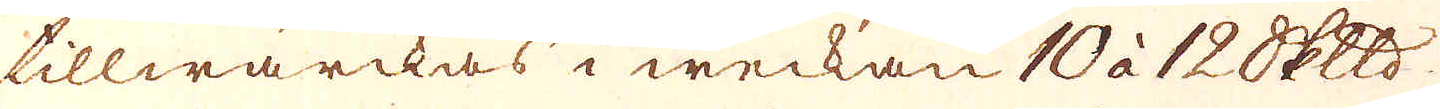tillwärckas i weckan 10 à 12 Skeppund
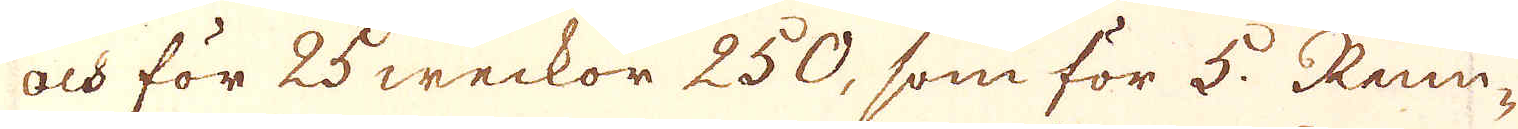och för 25 weckor 250, som för 5. Ram-
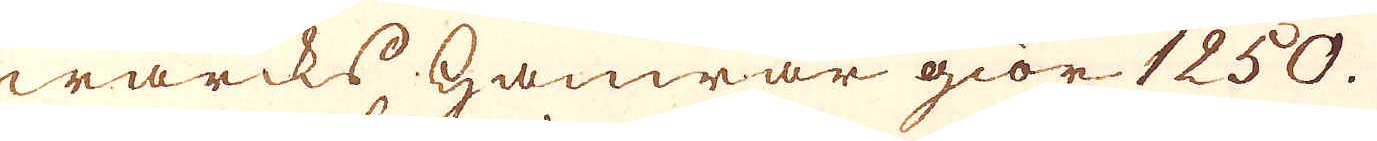wärcks Hammar giör 1250.
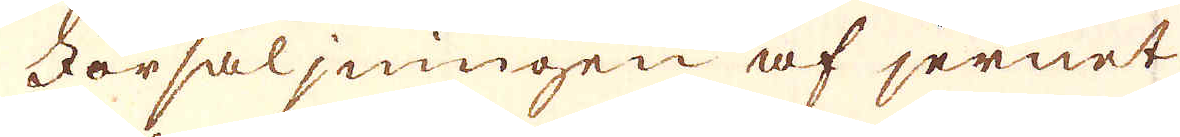Försäljningen af jernet
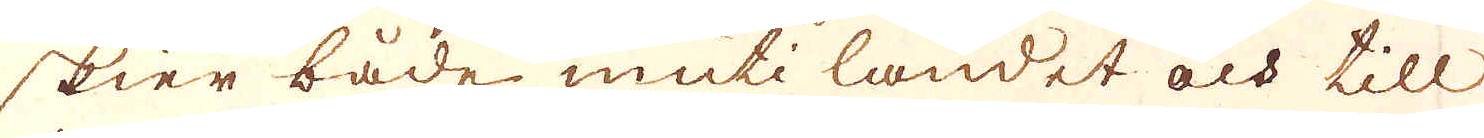skier både uti landet och till
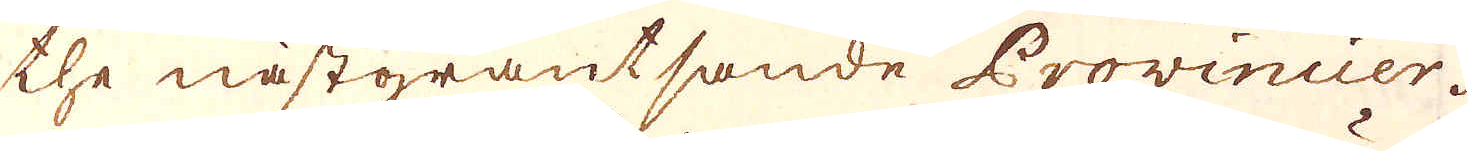the nästgräntsande Provinsier.
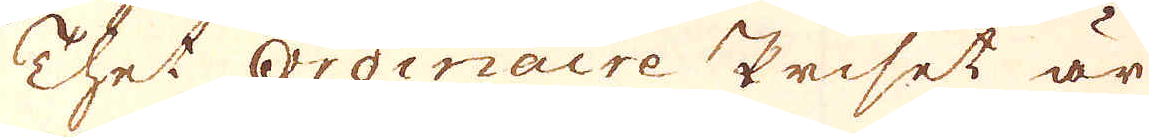Thet Ordinaire priset är
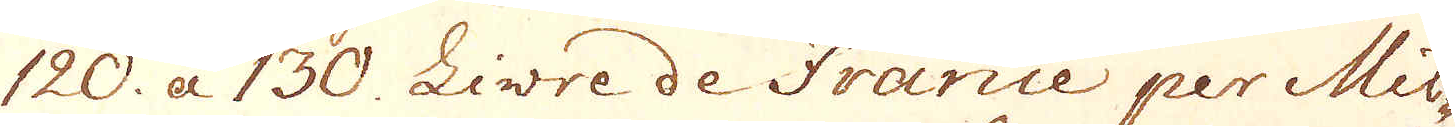120. a 130. Livre de france per Mil-
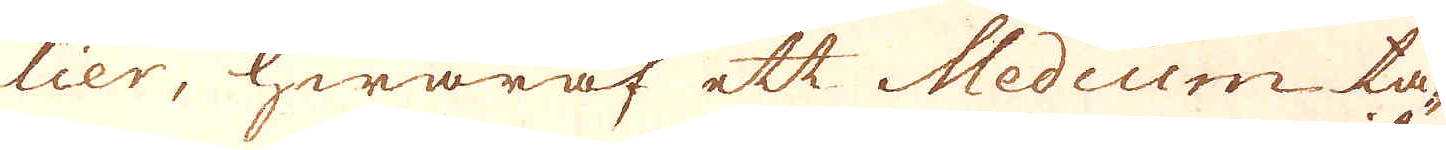lier, hwaraf ett Medium ta-
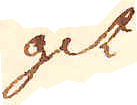git
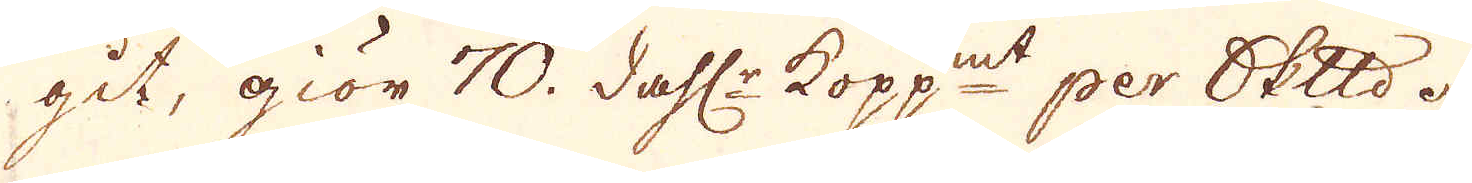git, giör 70. dahl:r Kopp:mt per skeppund.
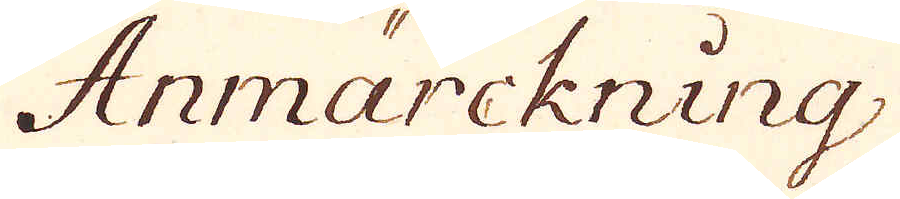Anmärckning
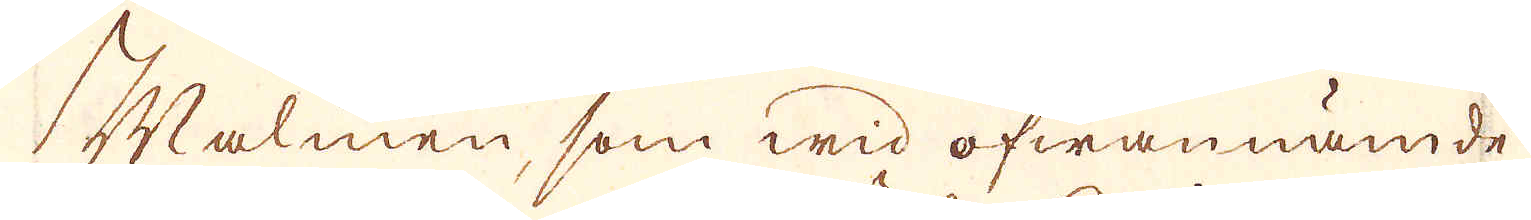Malmen, som wid ofwannämde
